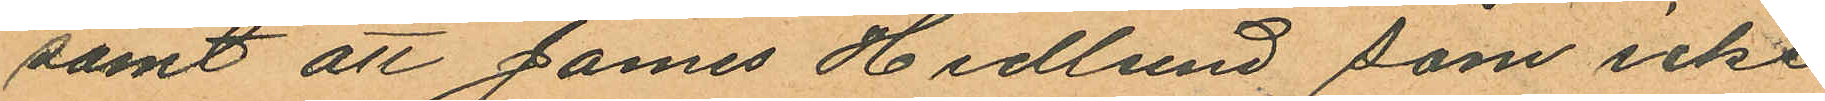samt att James Hedlund som icke
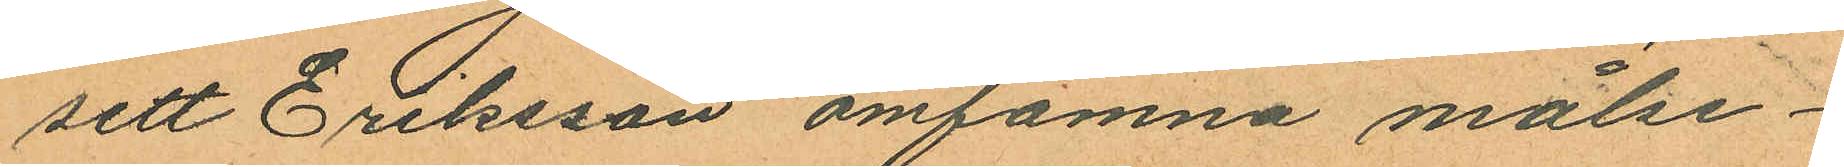sett Eriksson omfamna målse¬
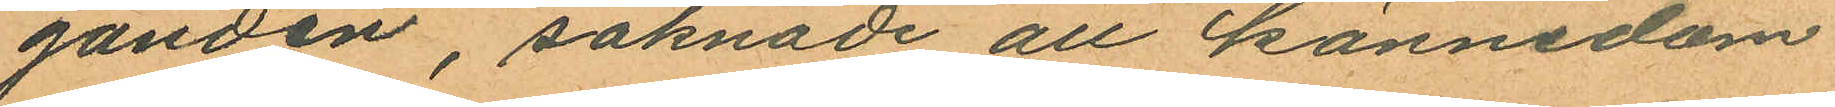ganden, saknade all kännedom
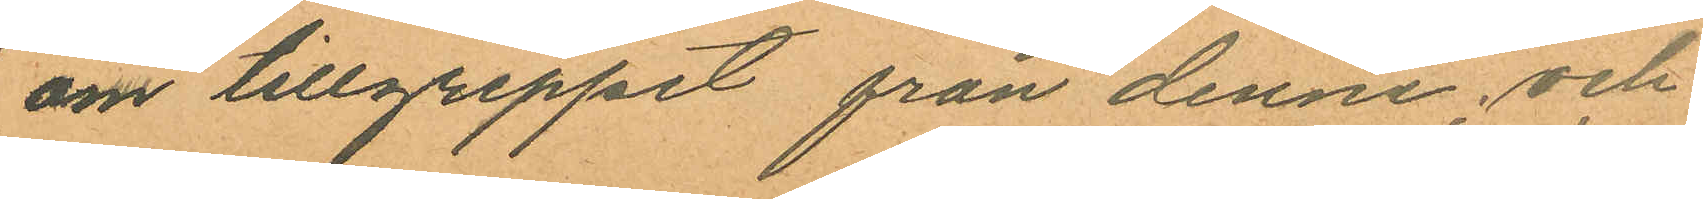om tillgreppet från denne, och
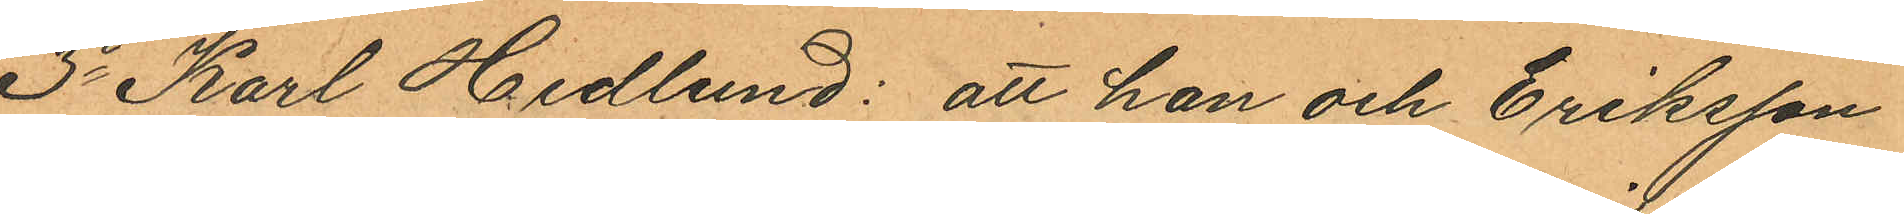3o Karl Hedlund: att han och Eriksson
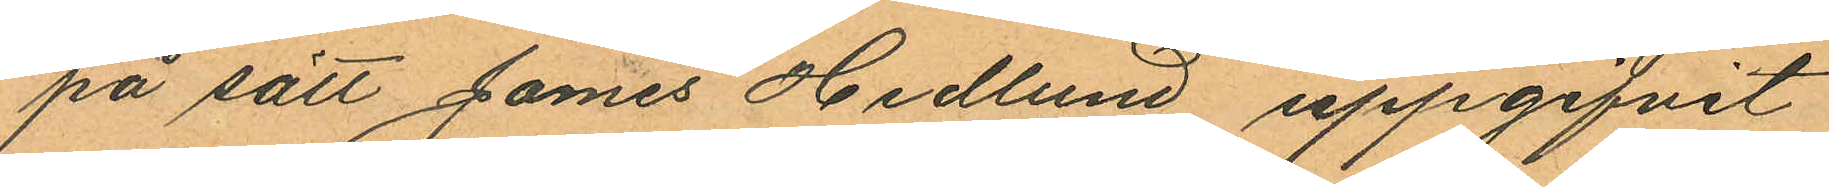på sätt James Hedlund uppgifvit
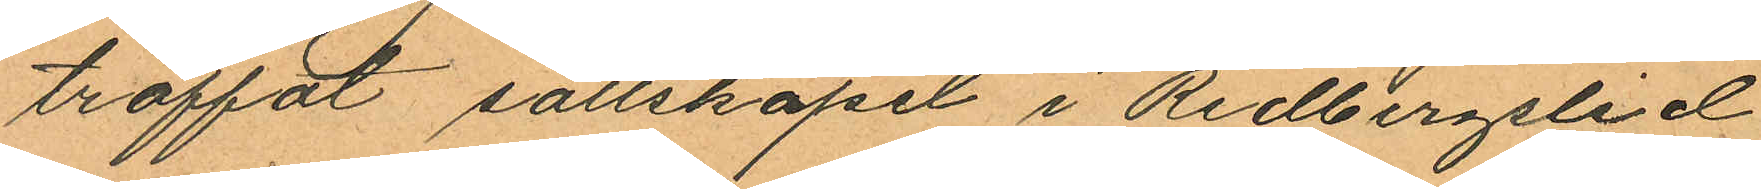träffat sällskapet i Redbergslid
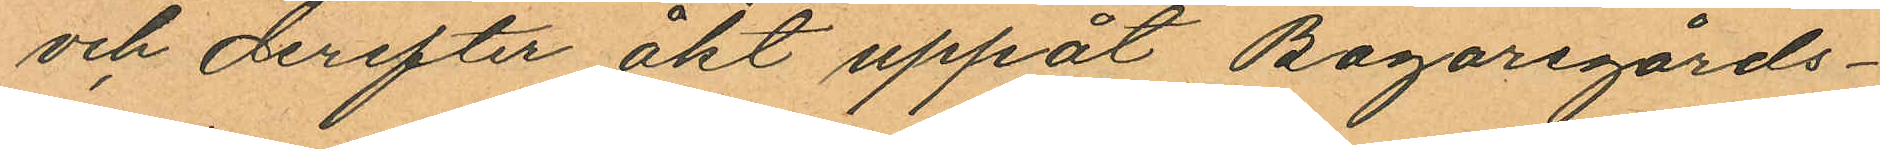och derefter åkt uppåt Bagaregårds¬
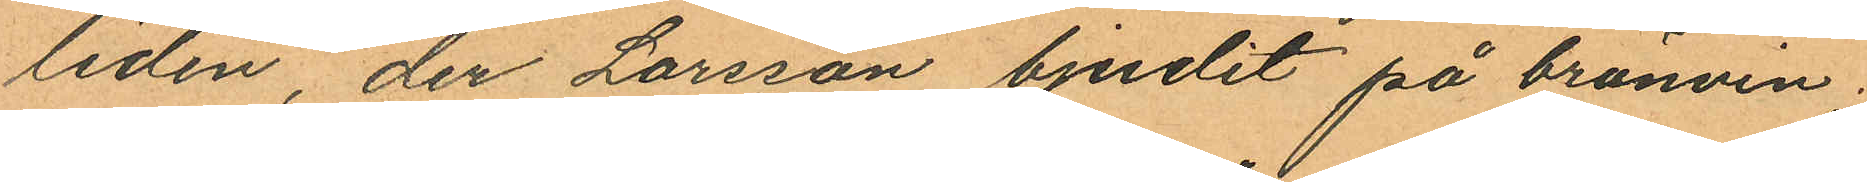liden, der Larsson bjudit på bränvin
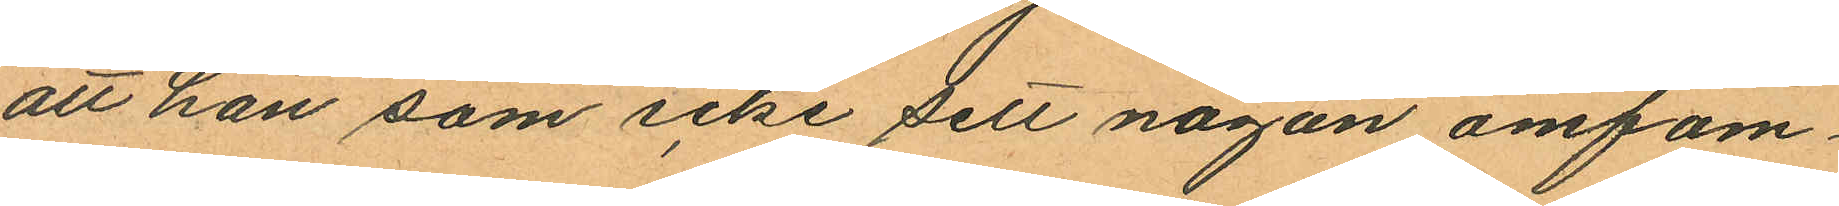att han som icke sett någon omfam¬
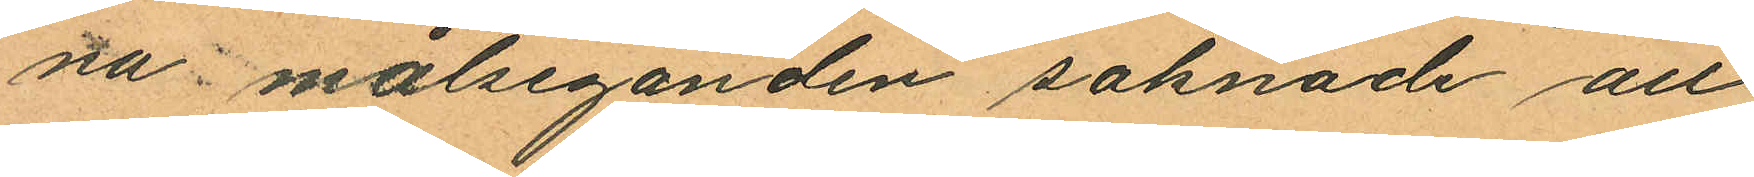na målseganden saknade all
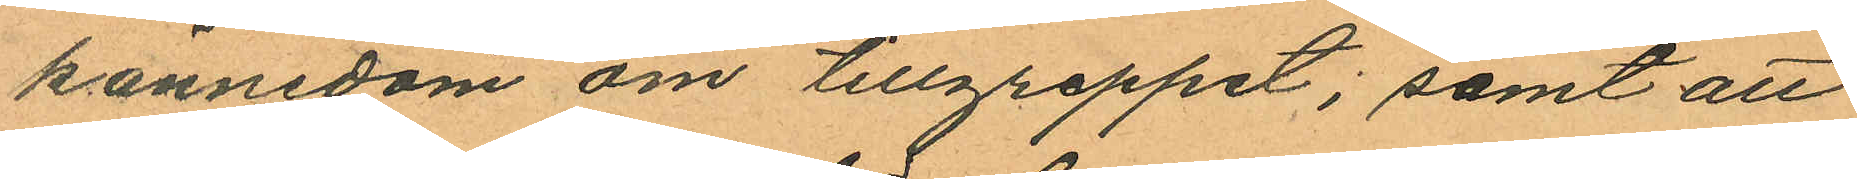kännedom om tillgreppet; samt att
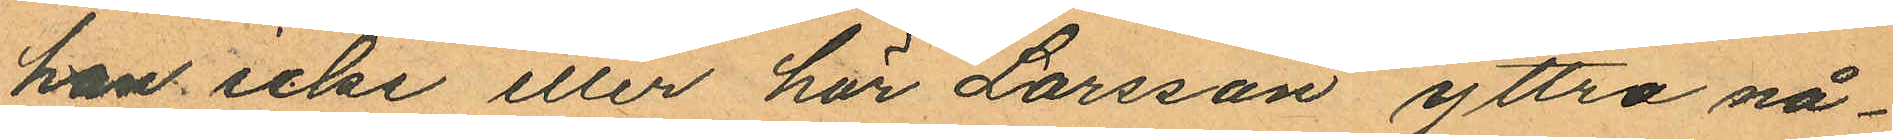han icke eller hör Larsson yttra nå¬
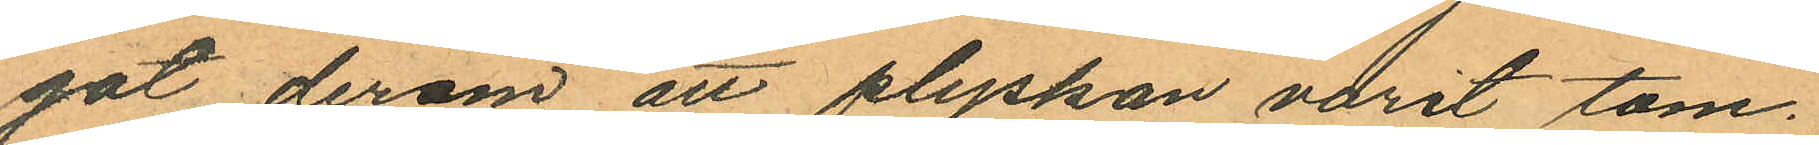got derom att plyskan varit tom.
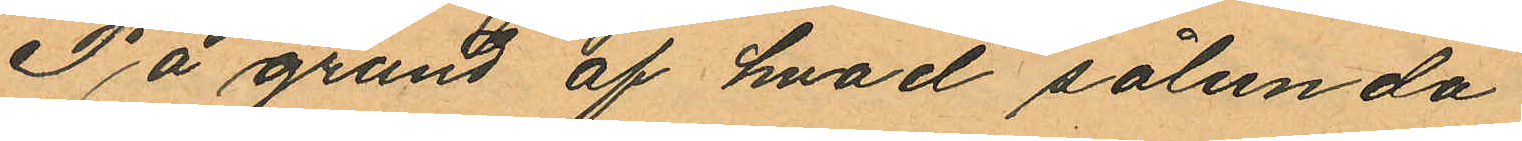På grund af hvad sålunda
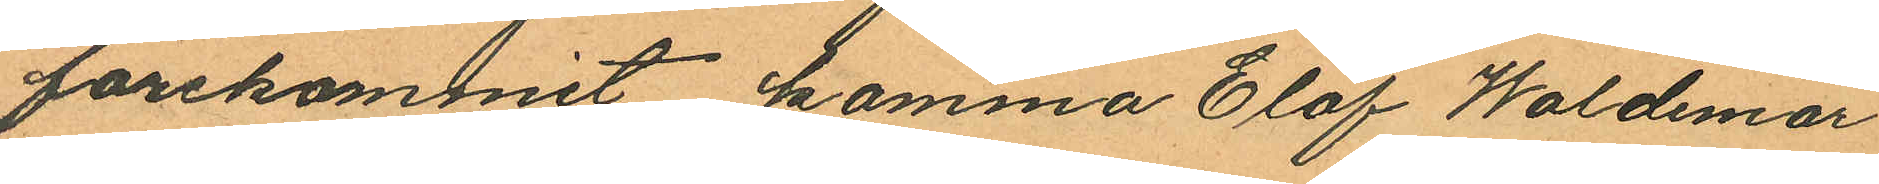förekommit komma Elof Waldemar
